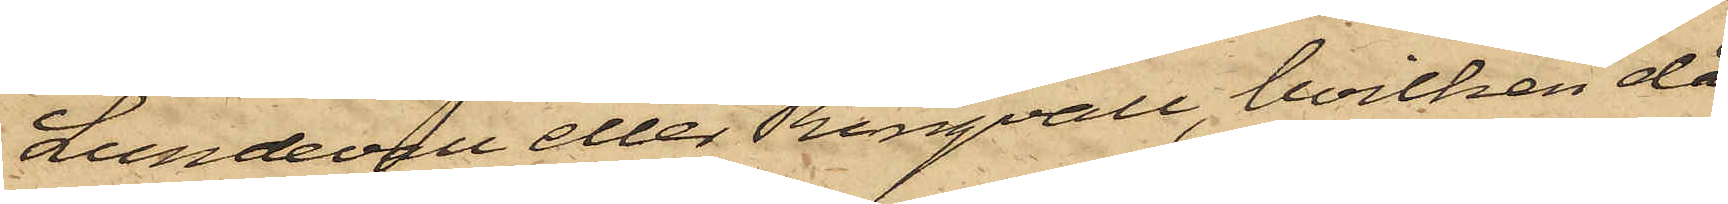Lundevall eller Ringvall, hvilken då
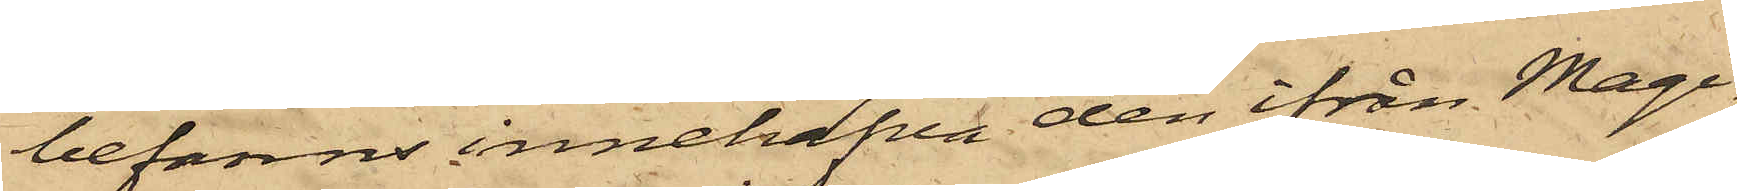befanns innehafva den ifrån Magi¬
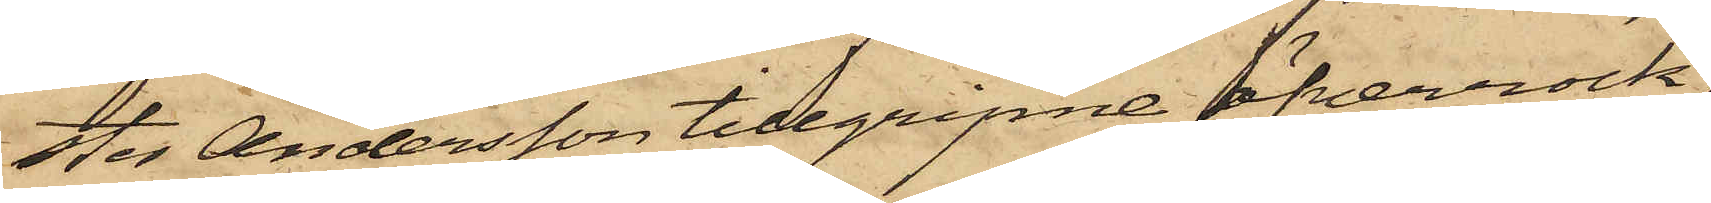ster Andersson tillgripne öfverrock,
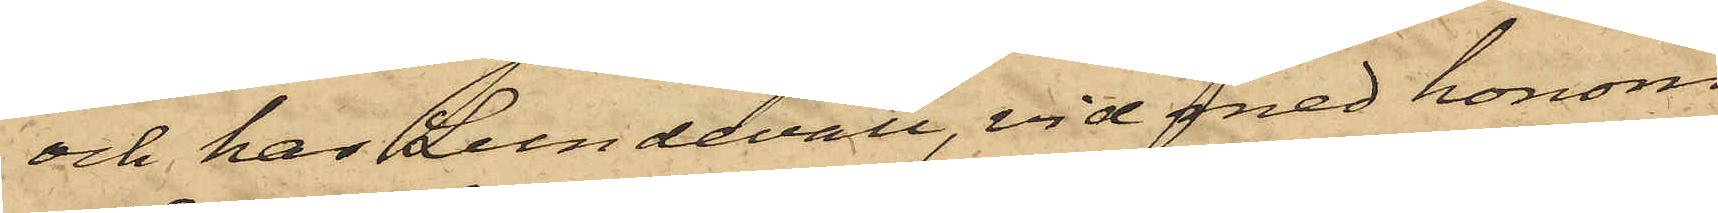och har Lundevall, vid med honom
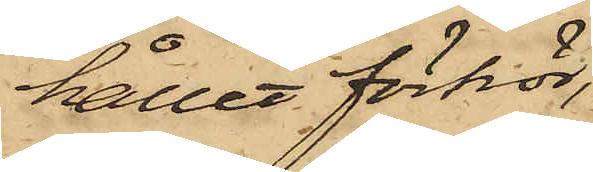hållet förhör,
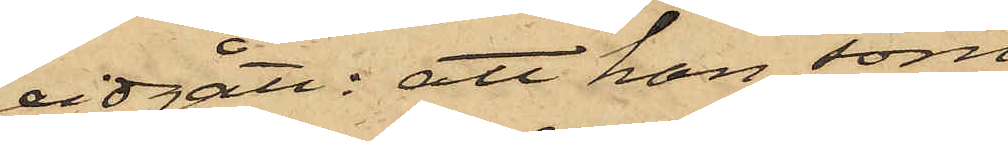vidgått: att han, som
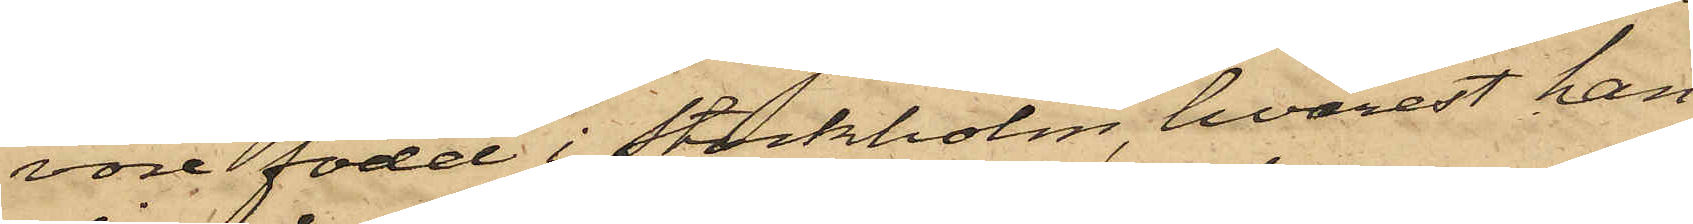vore född i Stockholm, hvarest han
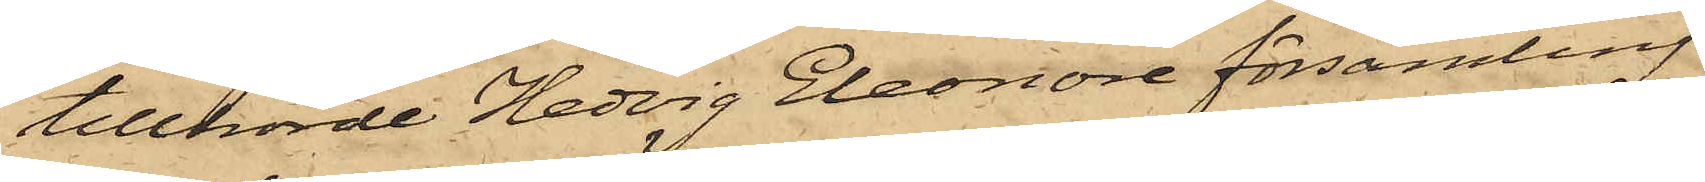tillhörde Hedvig Eleonora församling
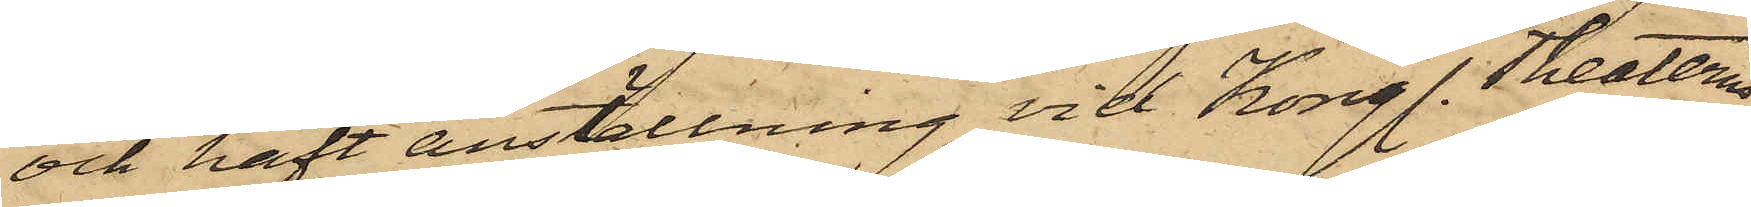och haft anställning vid Kongl. Theatern
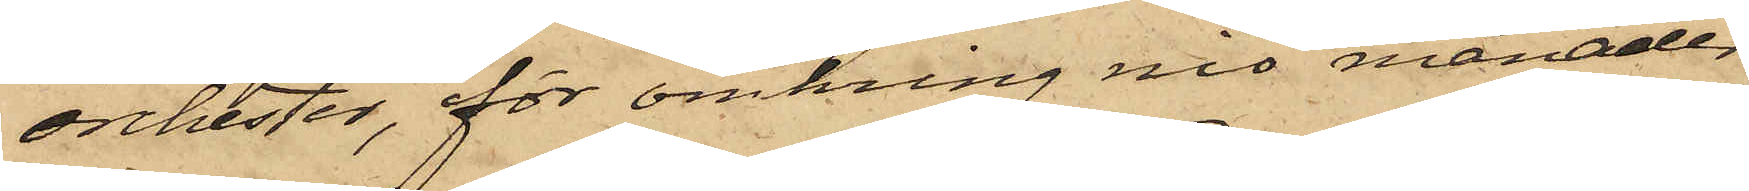orchester, för omkring nio månader
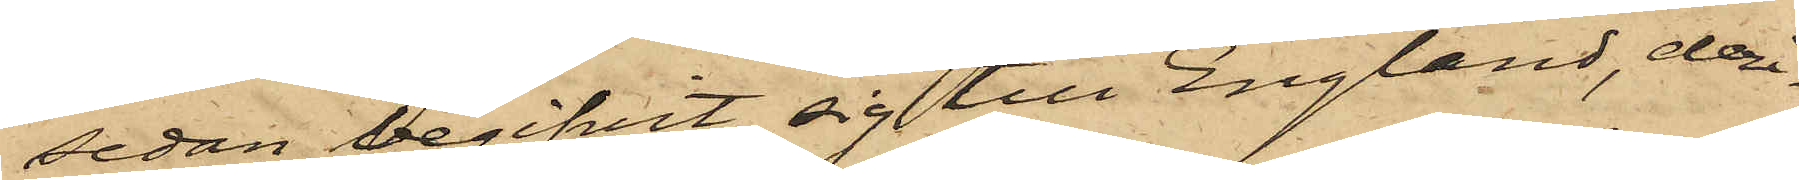sedan begifvit sig till England, deri¬
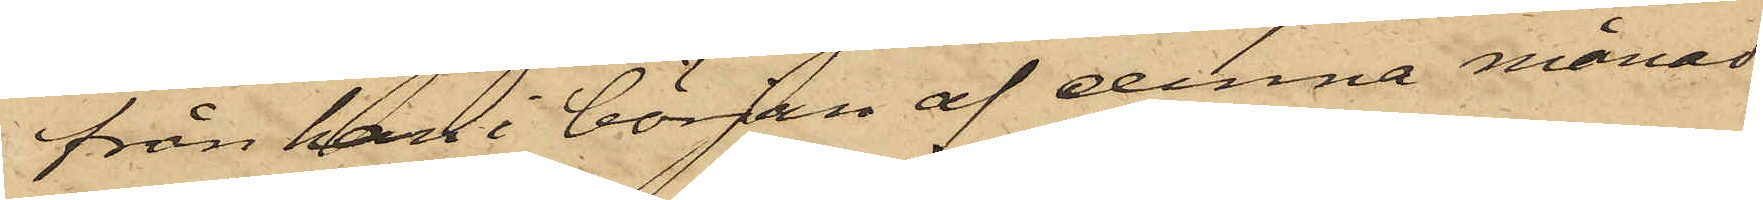från han i början af denna månad
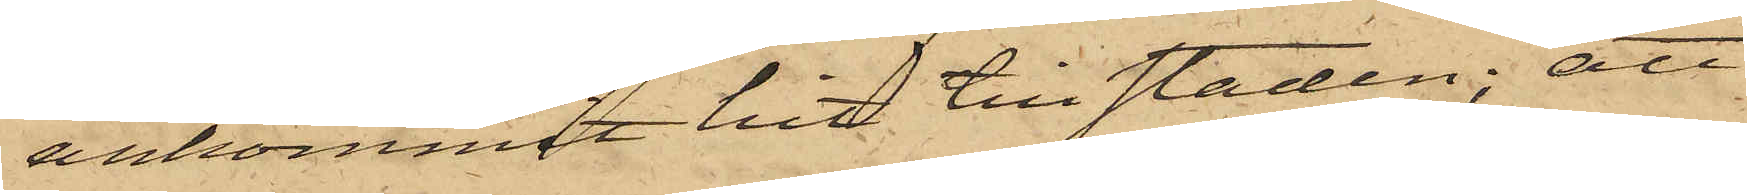ankommit hit till staden; att
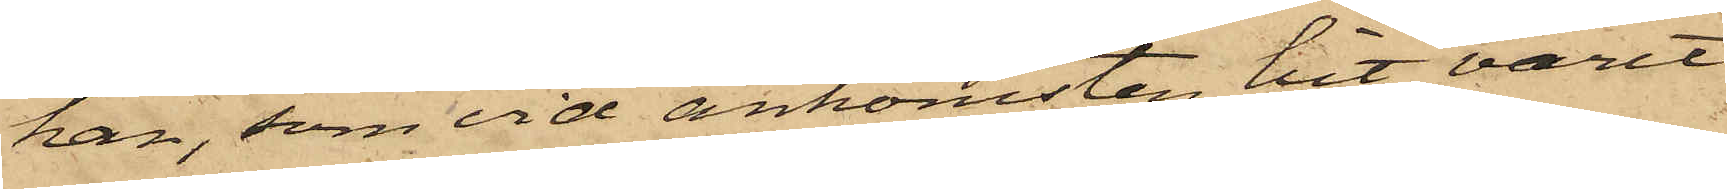han, som vid ankomsten hit varit
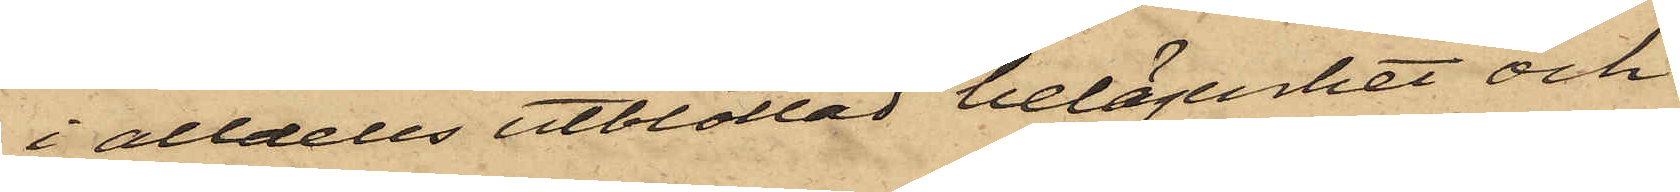i alldeles utblottad belägenhet och
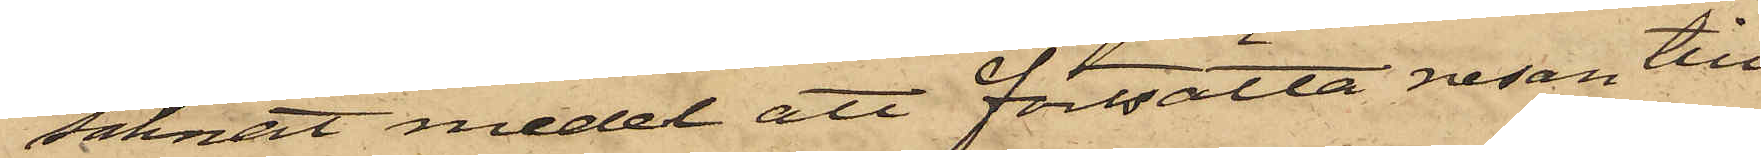saknat medel att fortsätta resan till
